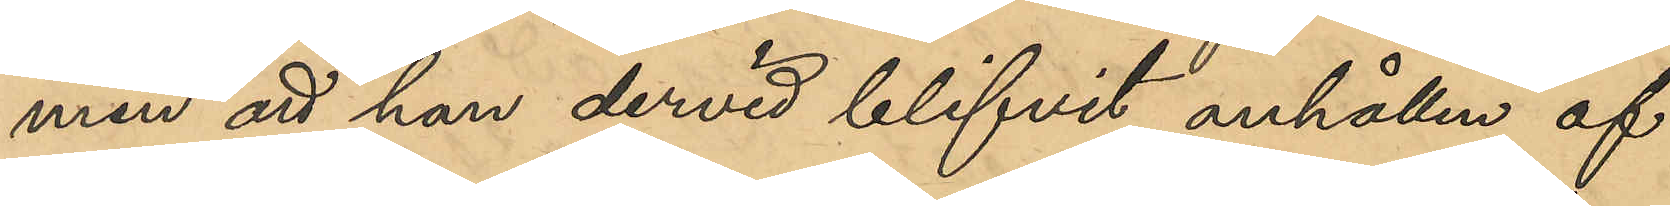men att han dervid blifvit anhållen af
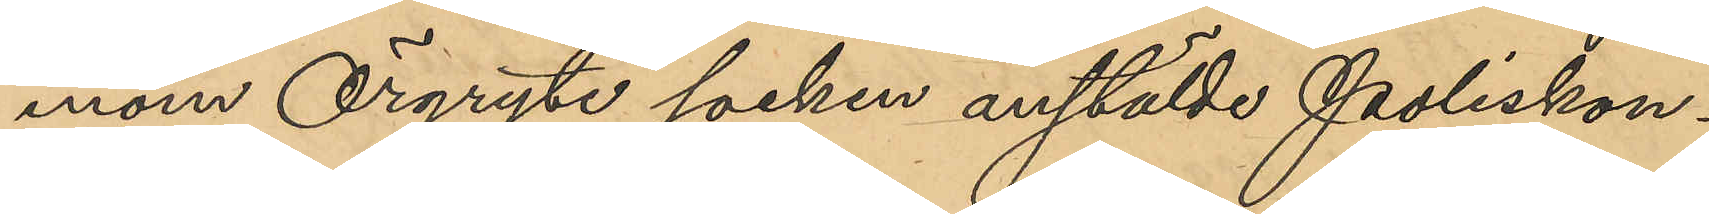inom Örgryte socken anstälde Poliskon¬
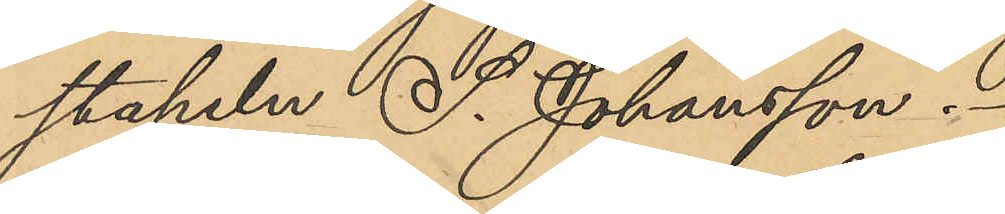stapeln S. Johansson.
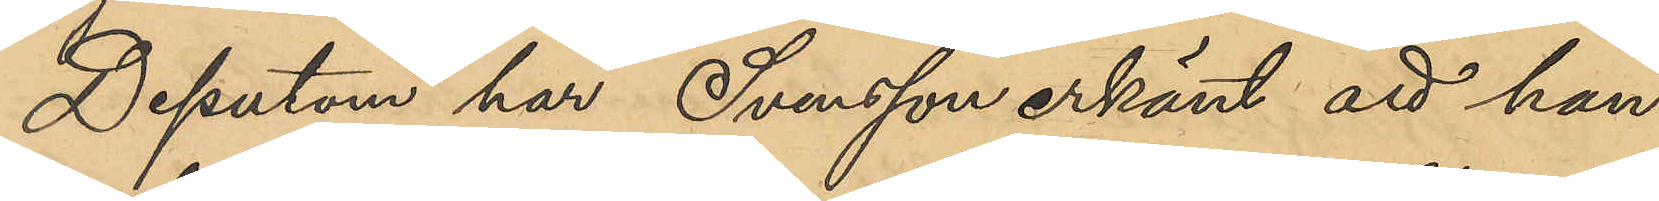Dessutom har Svensson erkänt att han
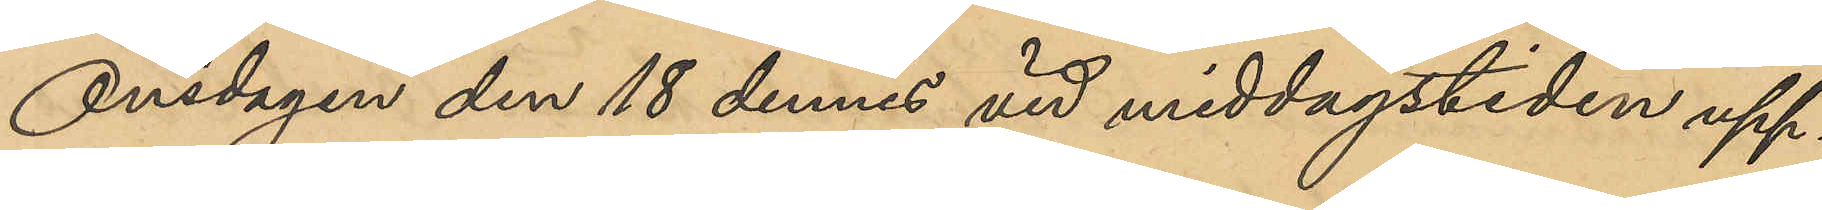Onsdagen den 18 dennes vid middagstiden upp¬
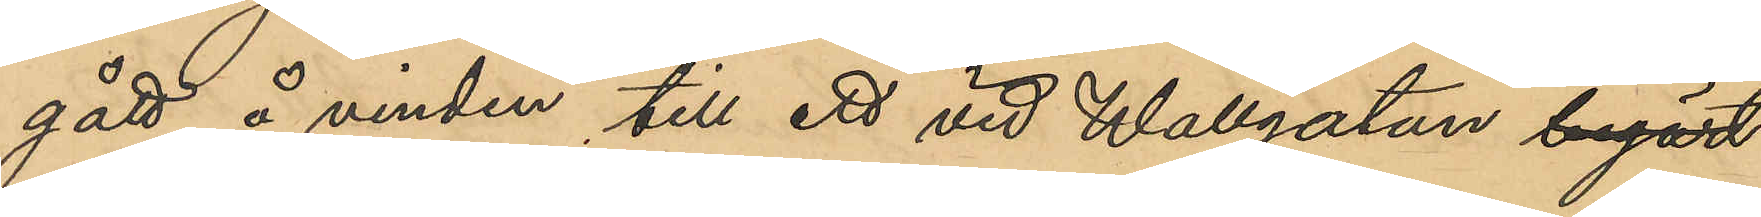gått å vinden till ett vid Wallgatan begärd
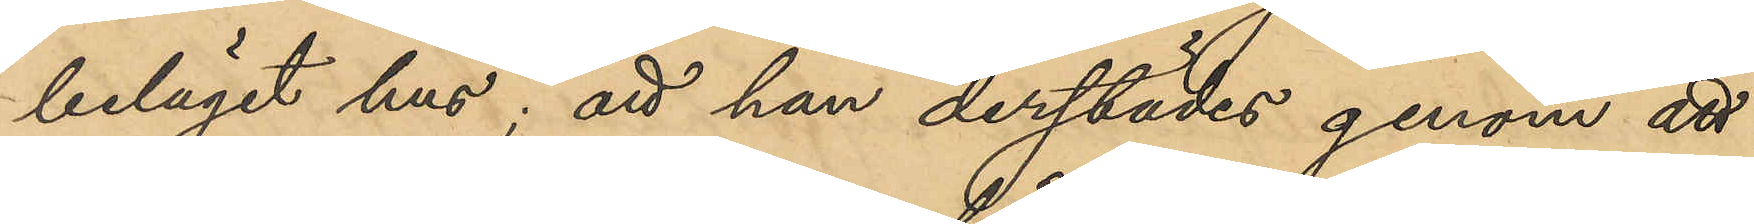beläget hus; att han derstädes genom att
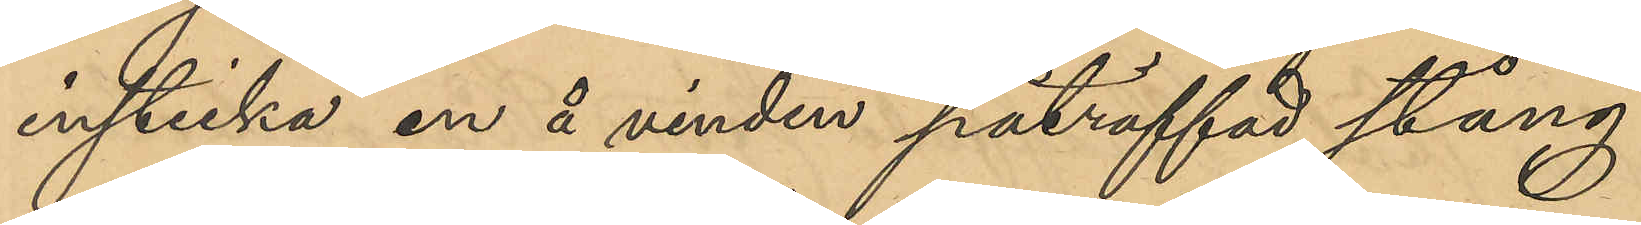insticka en å vinden påträffad stång
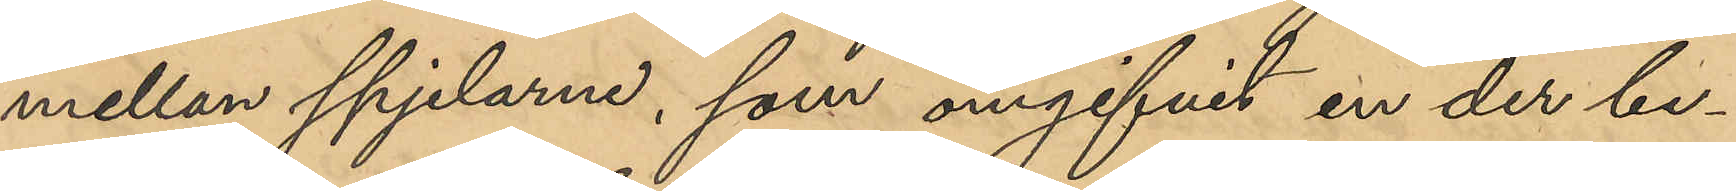mellan spjelarne, som omgifvit en der be¬
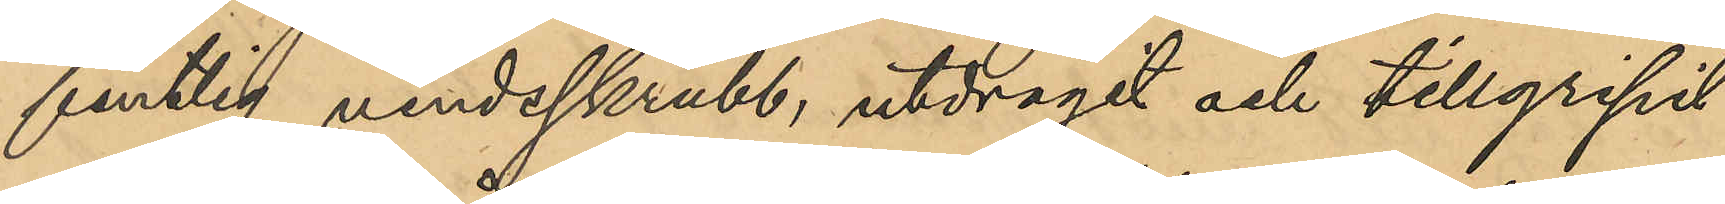fintlig vindsskrubb, utdragit och tillgripit
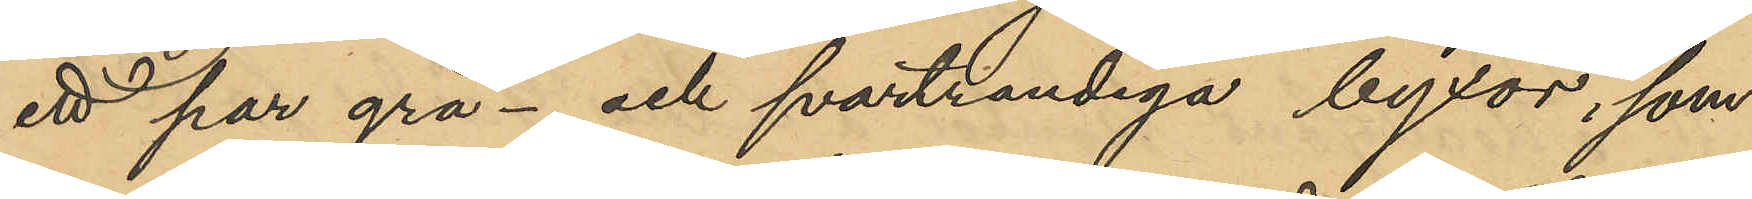ett par grå- och svartrandiga byxor, som
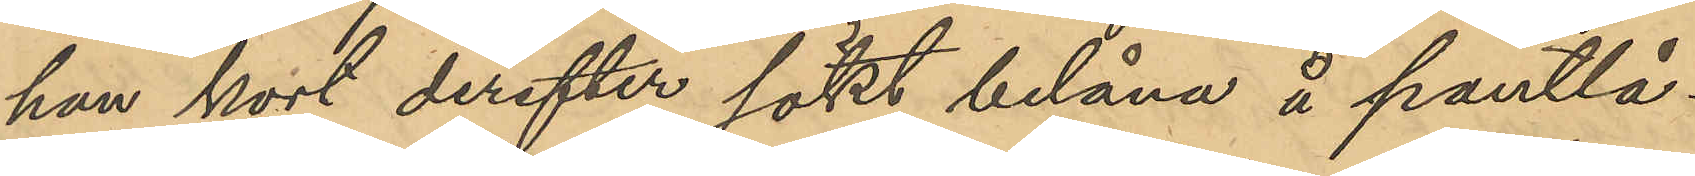han kort derefter sökt belåna å pantlå¬
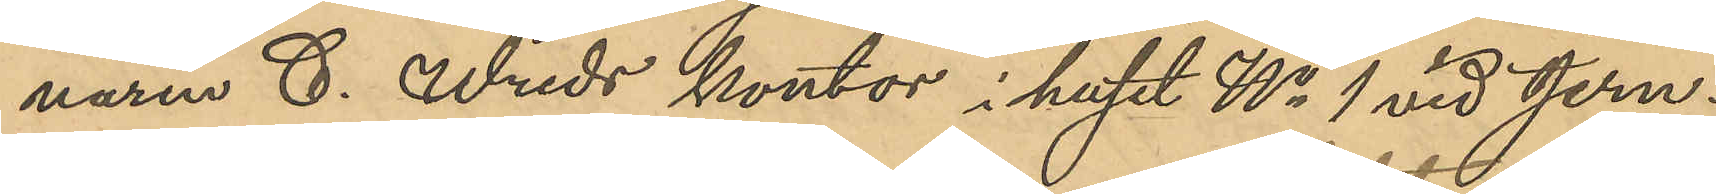naren C. Wreds kontor i huset No 1 vid Jern¬
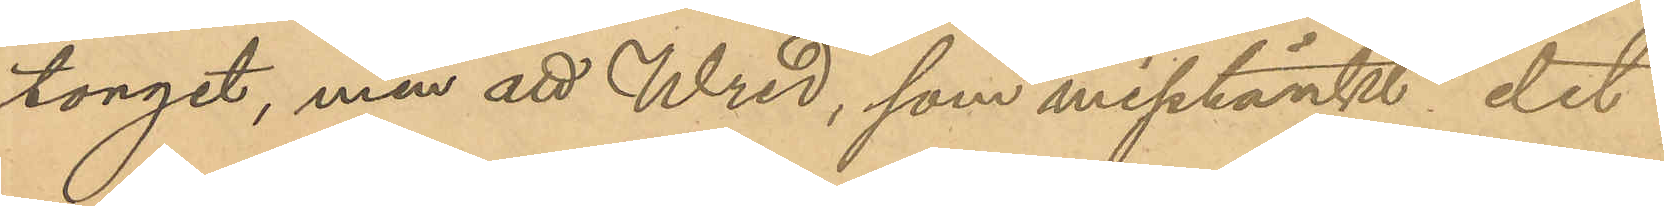torget, men att Wred, som misstänkt det
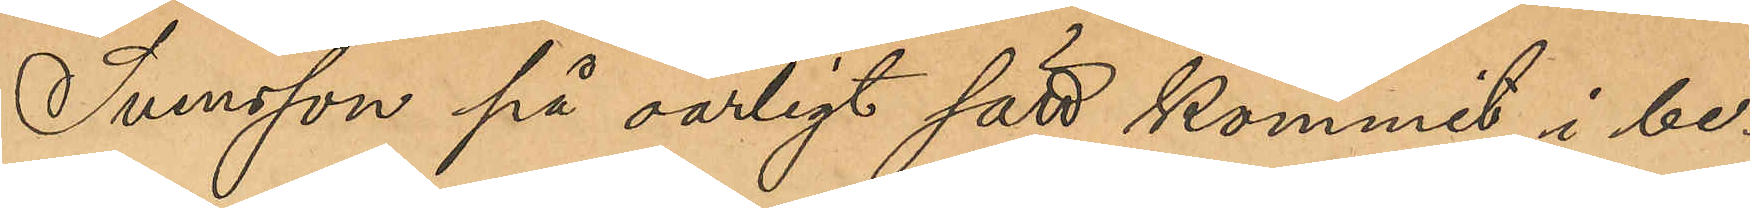Svenson på oärligt sätt kommit i be¬
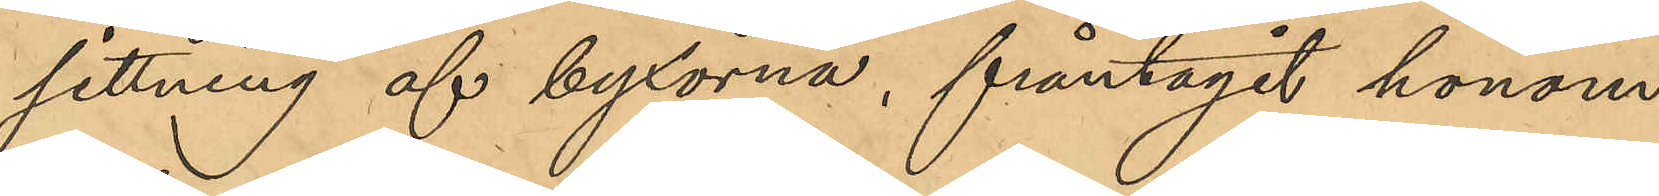sittning af byxorna, fråntagit honom 
